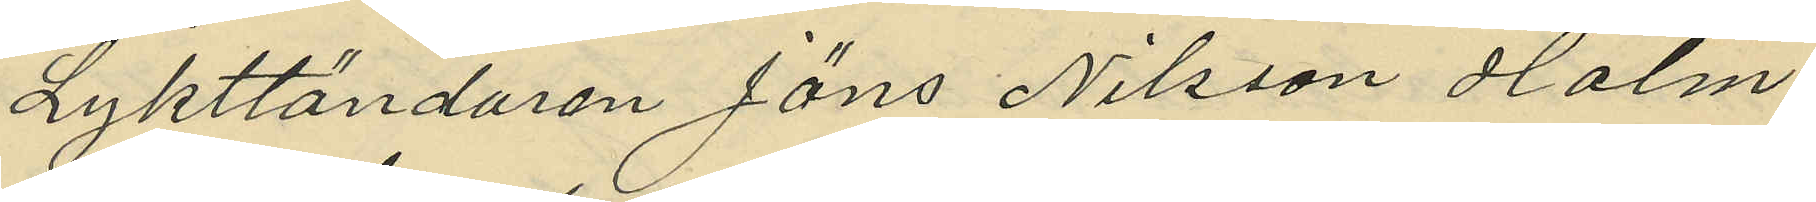Lykttändaren Jöns Nilsson Holm
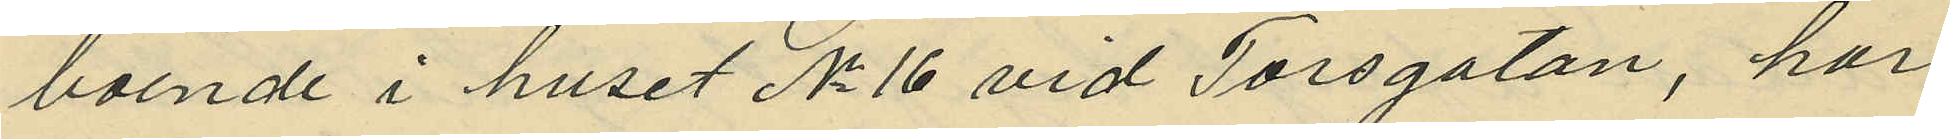boende i huset No 16 vid Torsgatan, har
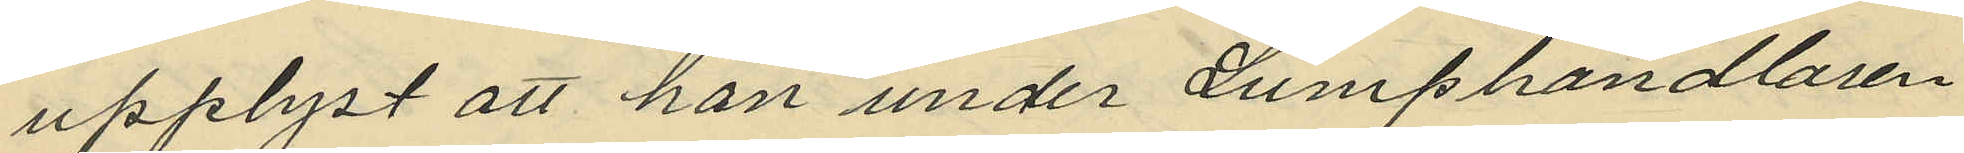upplyst att han under Lumphandlaren
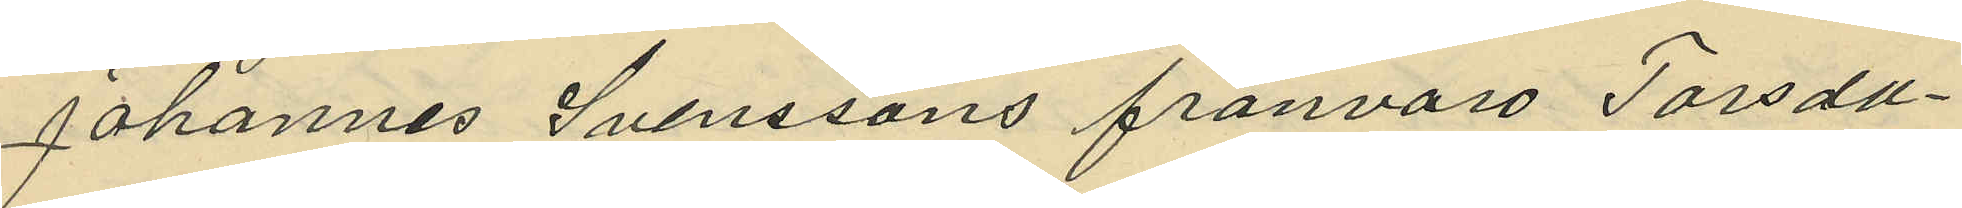Johannes Svenssons frånvaro Torsda¬
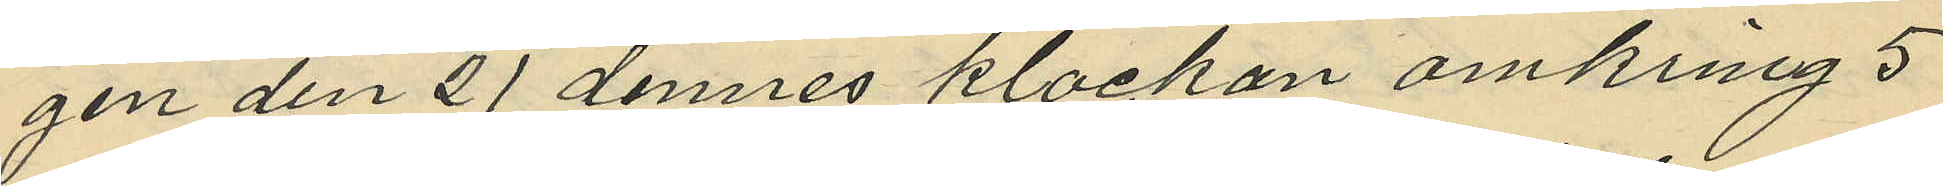gen den 21 dennes klockan omkring 5
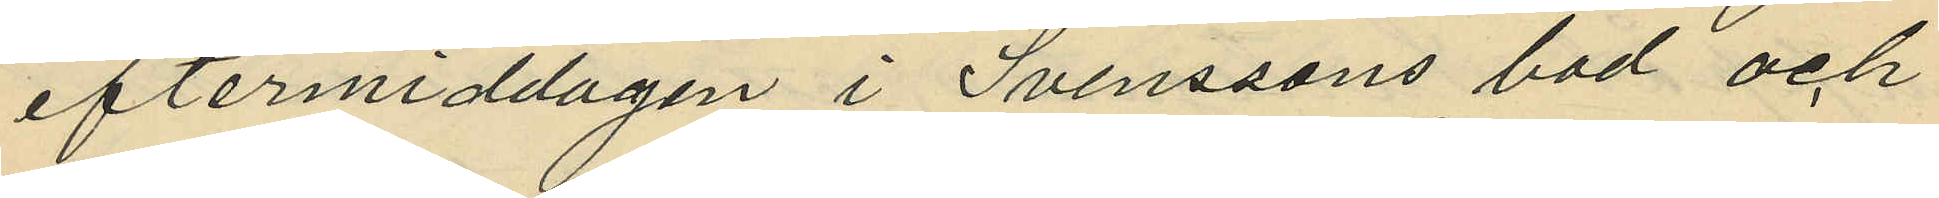eftermiddagen i Svenssons bod och
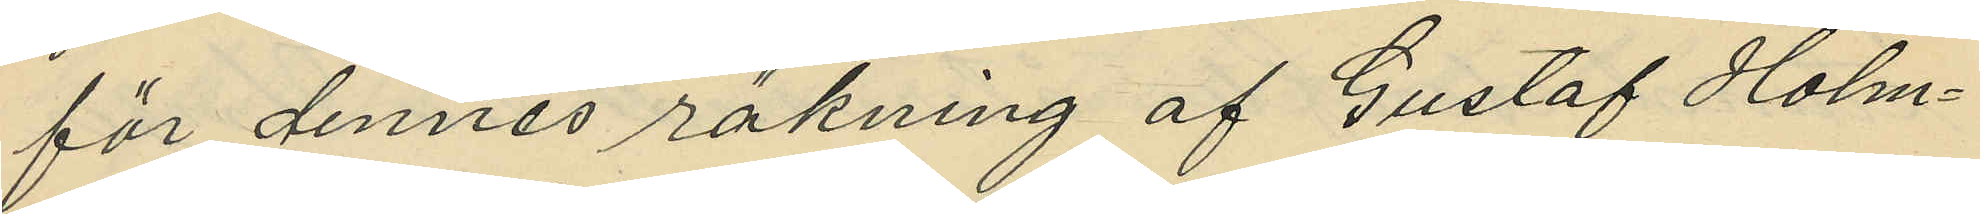för dennes räkning af Gustaf Holm¬
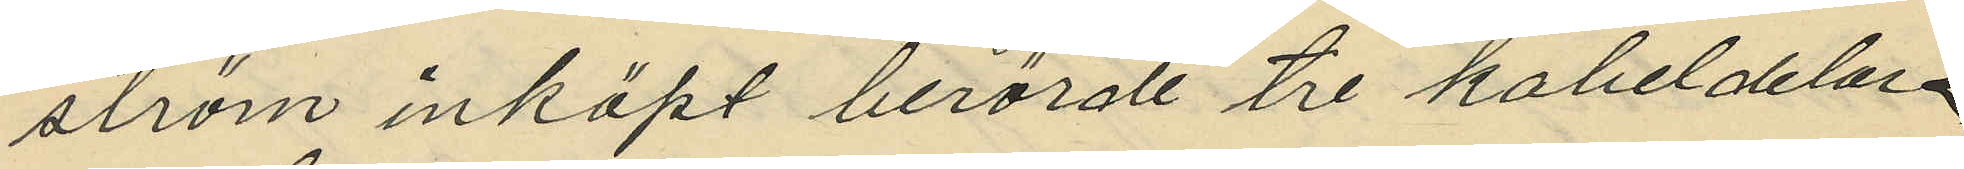ström inköpt berörde tre kabeldelar
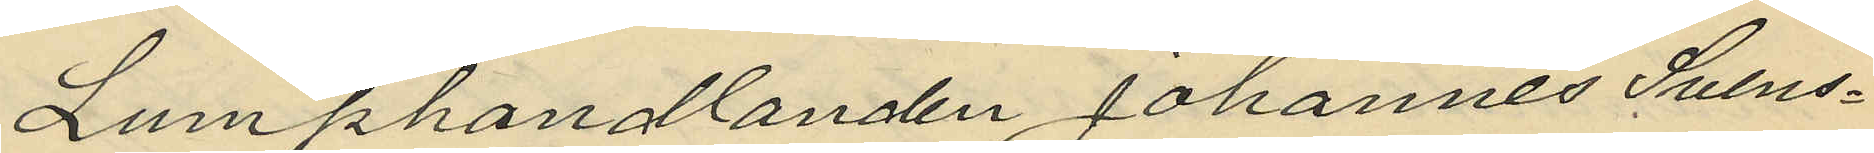Lumphandlanden Johannes Svens¬
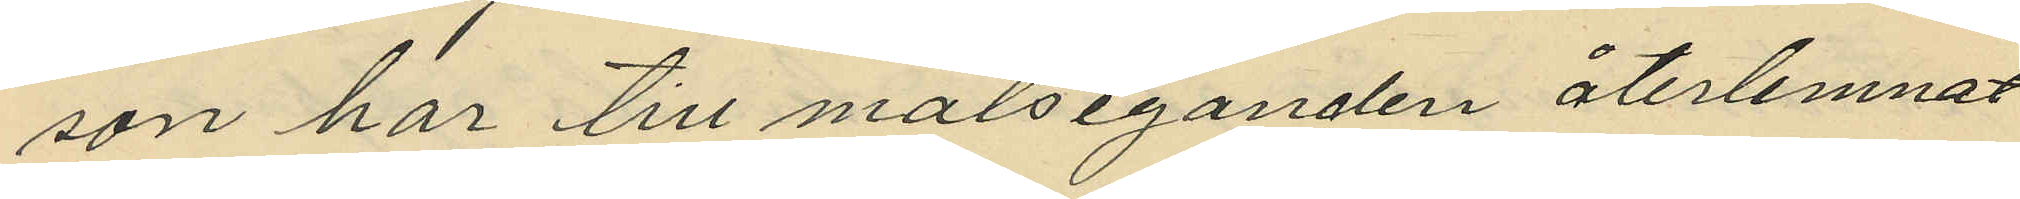son har till målseganden återlemnat
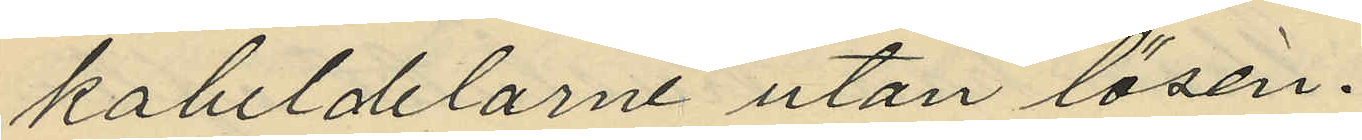kabeldelarne utan lösen.
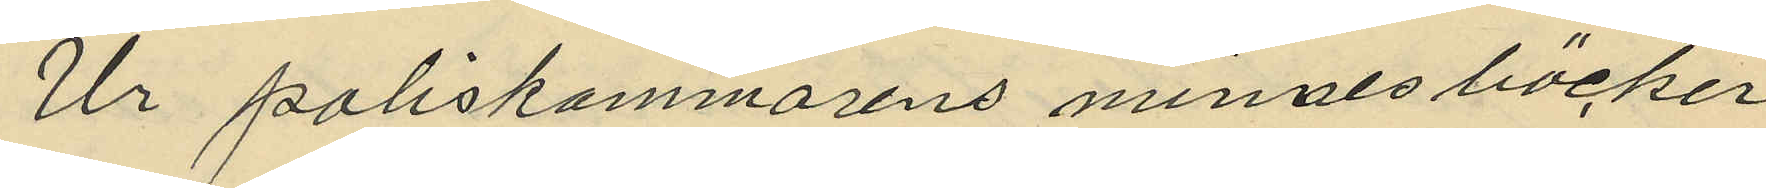Ur poliskammarens minnesböcker
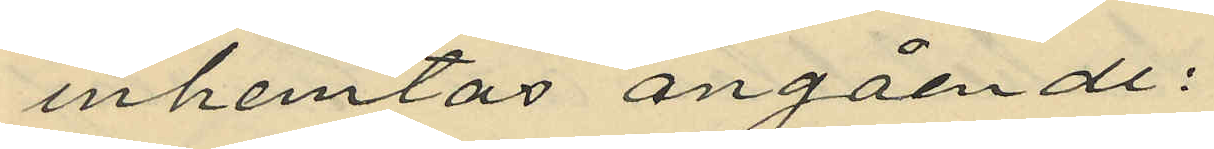inhemtas angående:
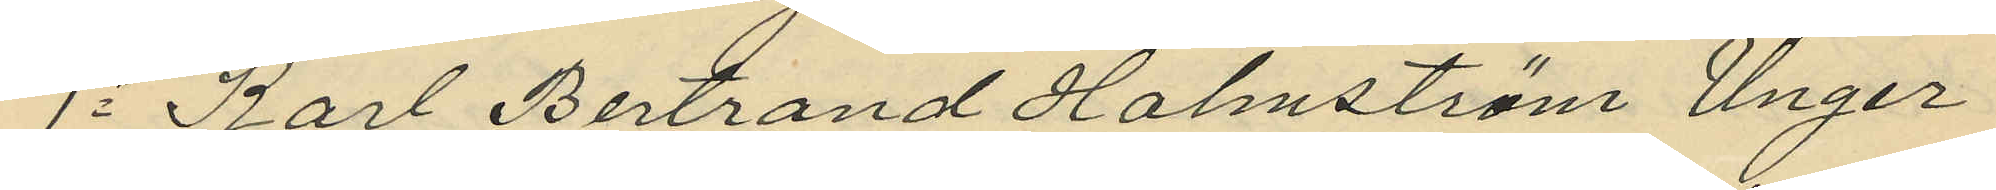1o Karl Bertrand Holmström Unger
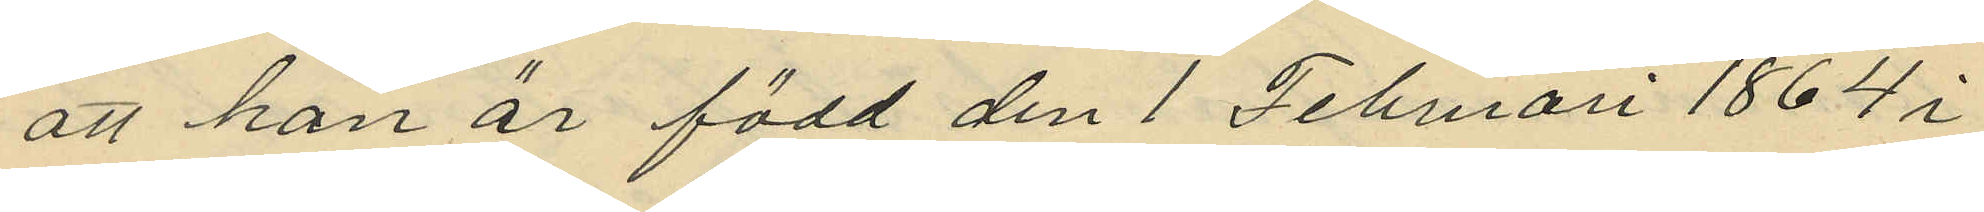att han är född den 1 Februari 1864 i
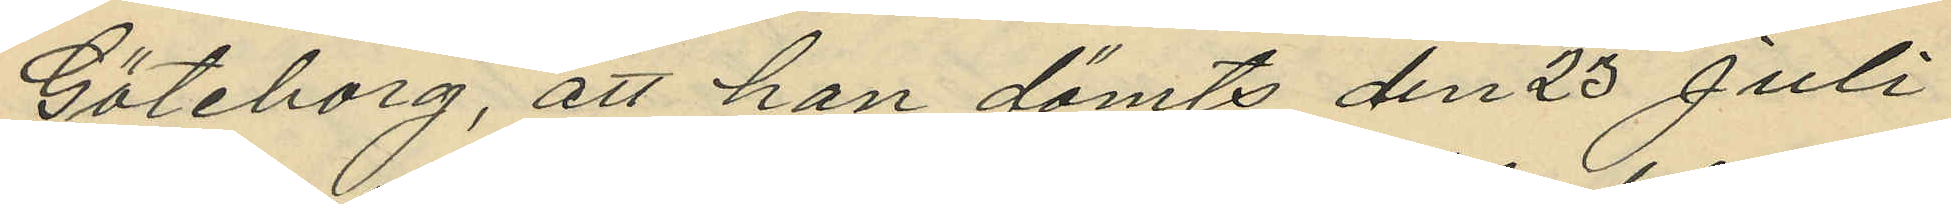Göteborg, att han dömts den 23 Juli
